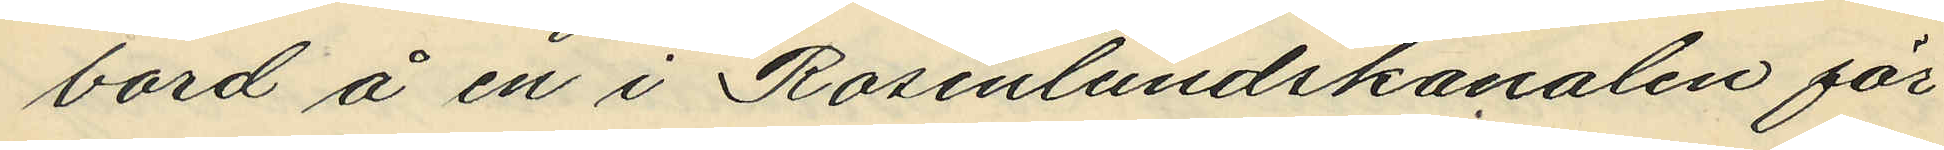bord å en i Rosenlundskanalen för¬
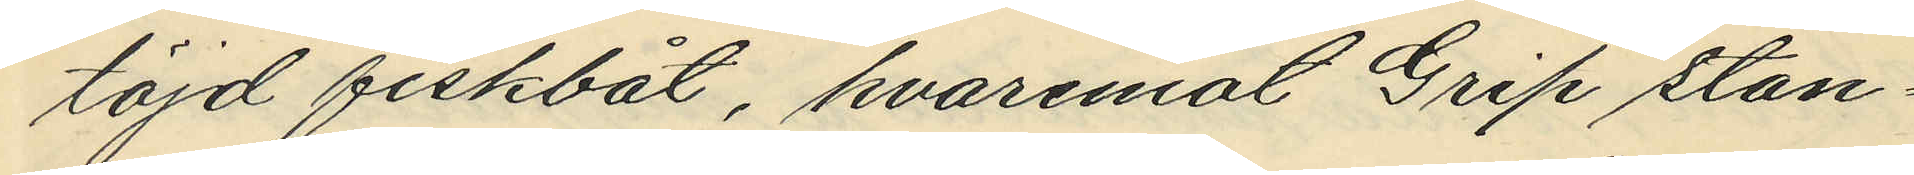töjd fiskbåt, hvaremot grip stan¬
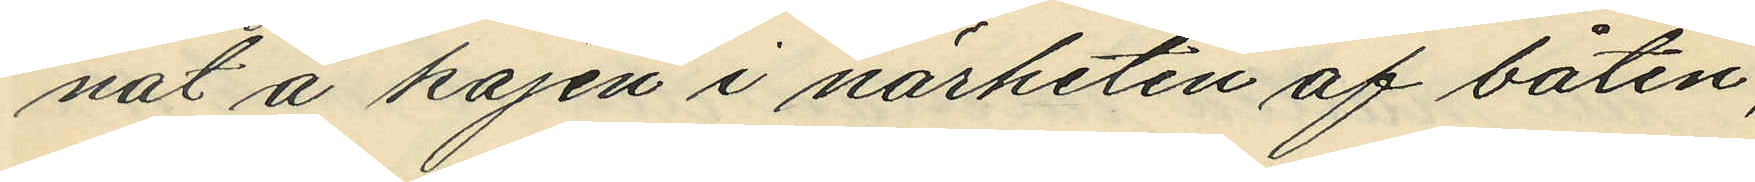nat å kajen i närheten af båten;
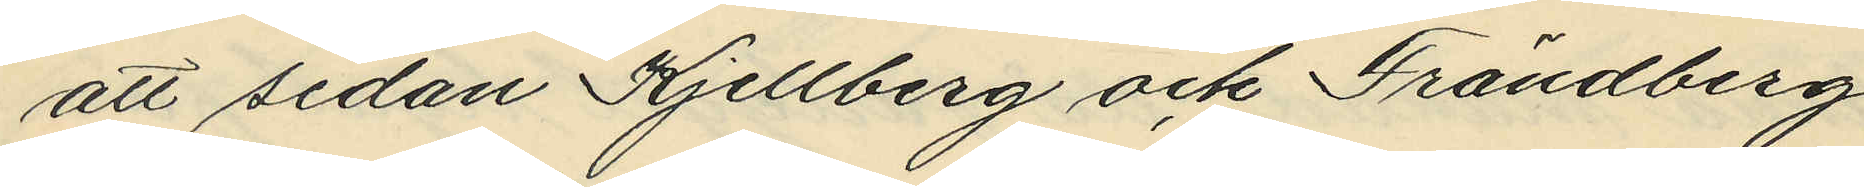att sedan Kjellberg och Frändberg
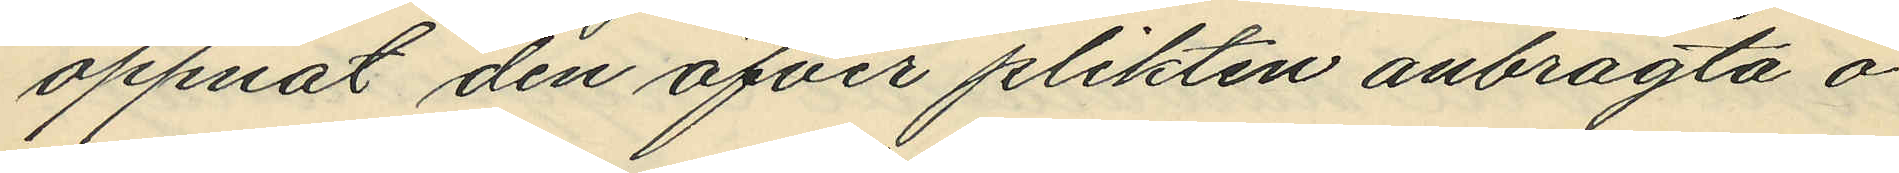öppnat den öfver plikten anbragta o¬
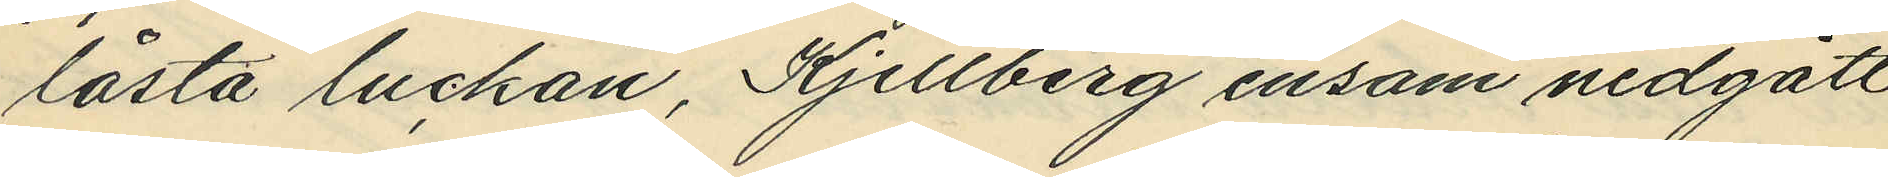låsta luckan, Kjellberg ensam nedgått
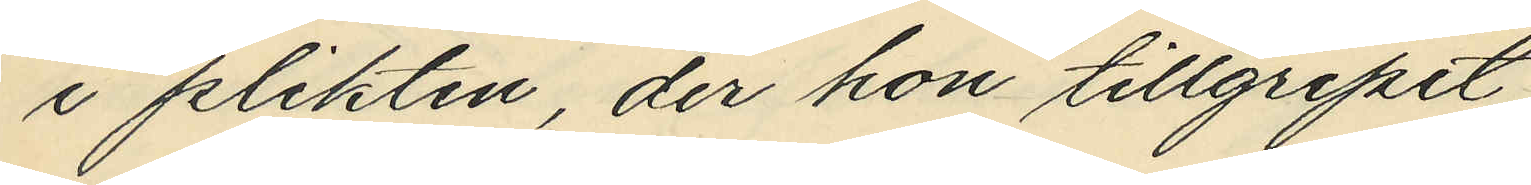i plikten, der hon tillgripit,
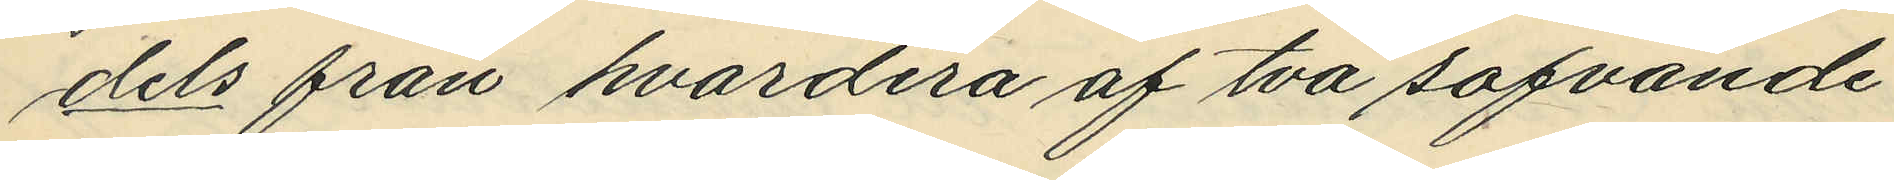dels från hvardera af två sofvande
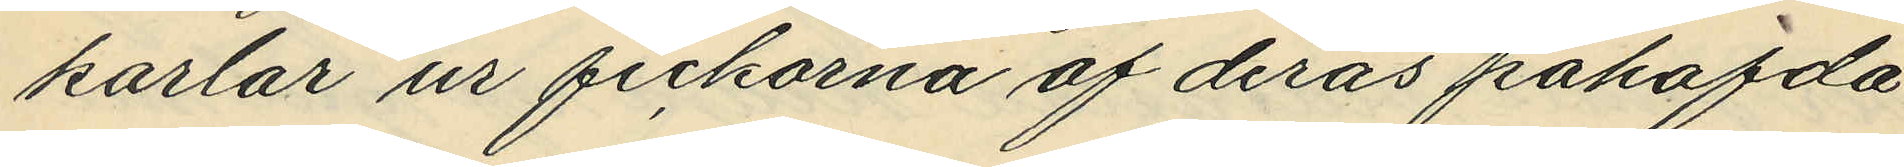karlar ur fickorna af deras påhafda
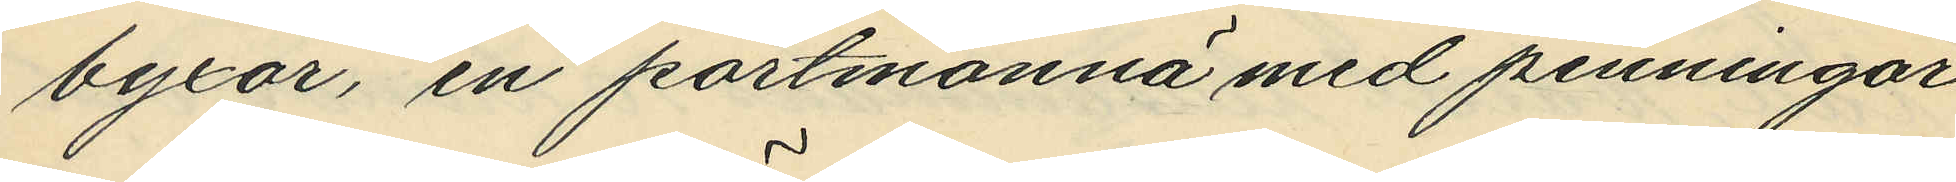byxor, en portmonnä med penningar
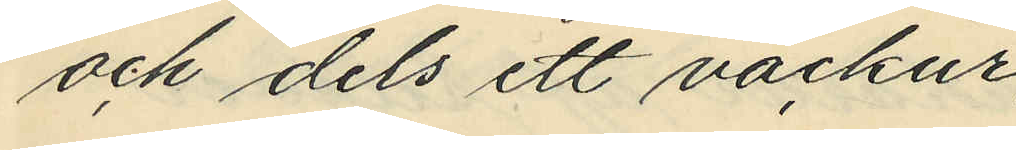och dels ett väckur;
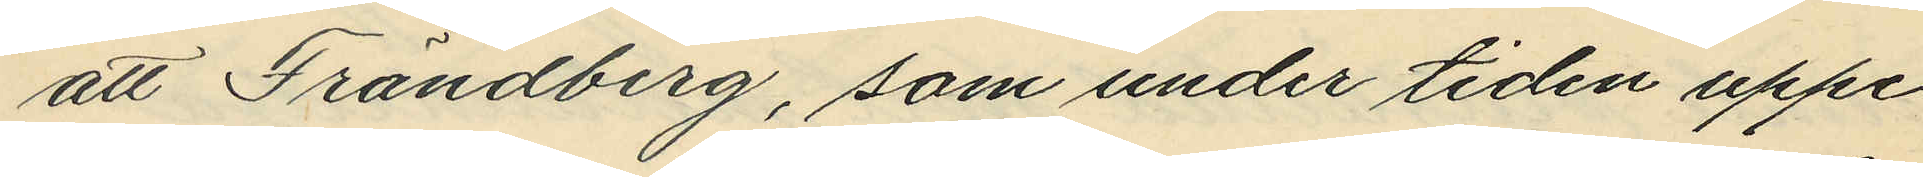att Frändberg, som under tiden uppe¬
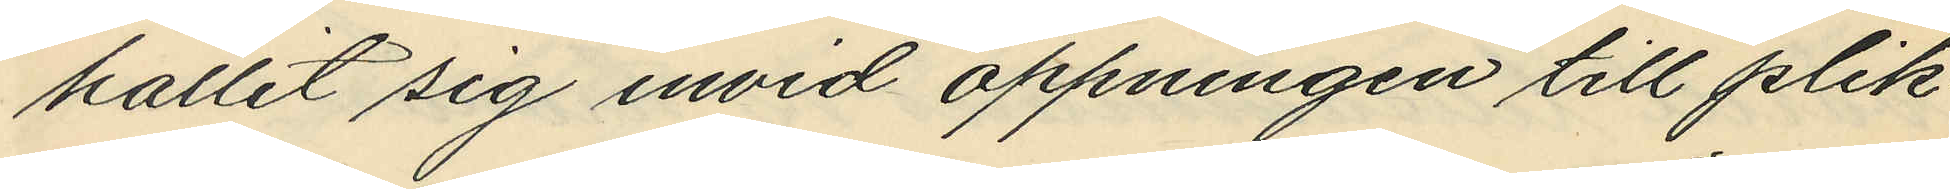hållit sig invid öppningen till plik¬
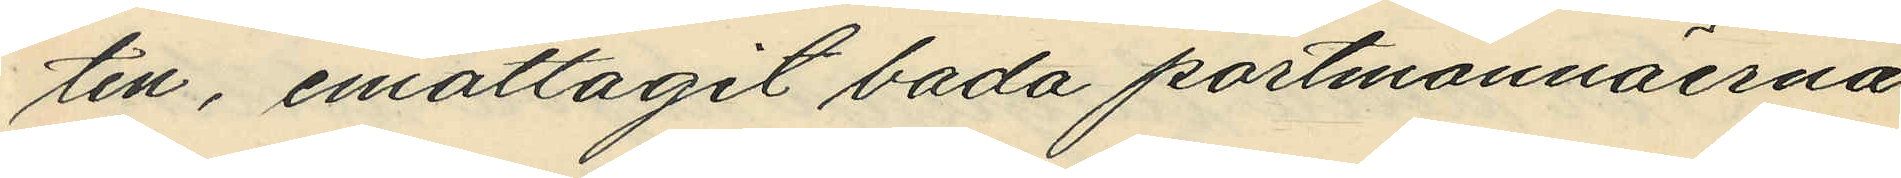ten, emottagit bada portmonnäerna
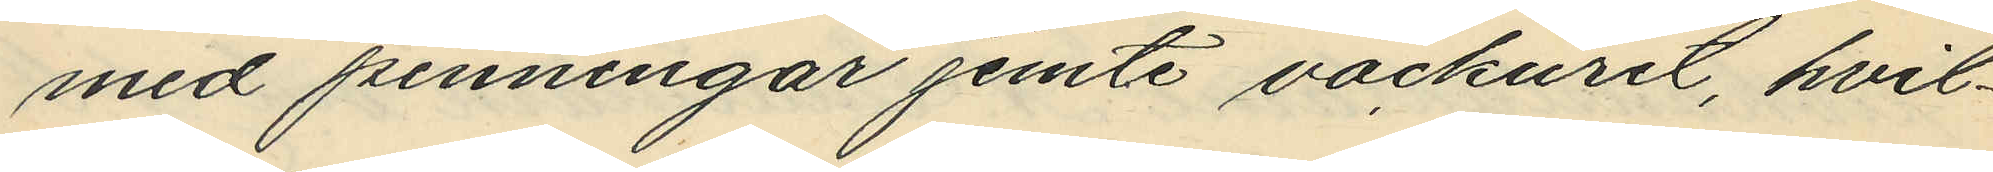med penningar jemte väckuret, hvil¬
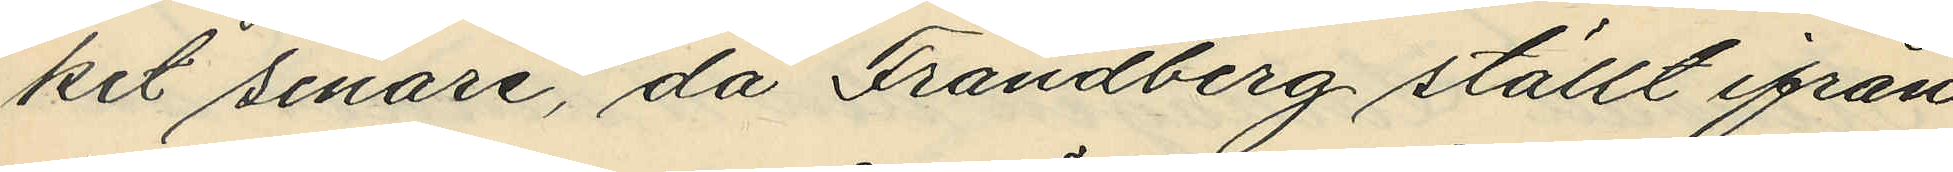ket senare, då Frändberg ställt ifrån
